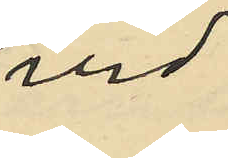vid
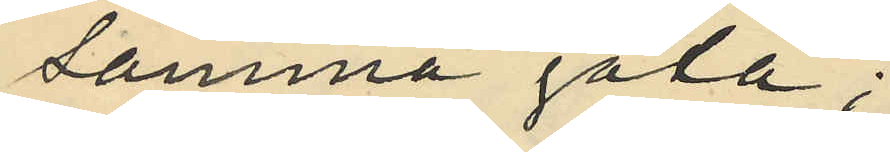samma gata;
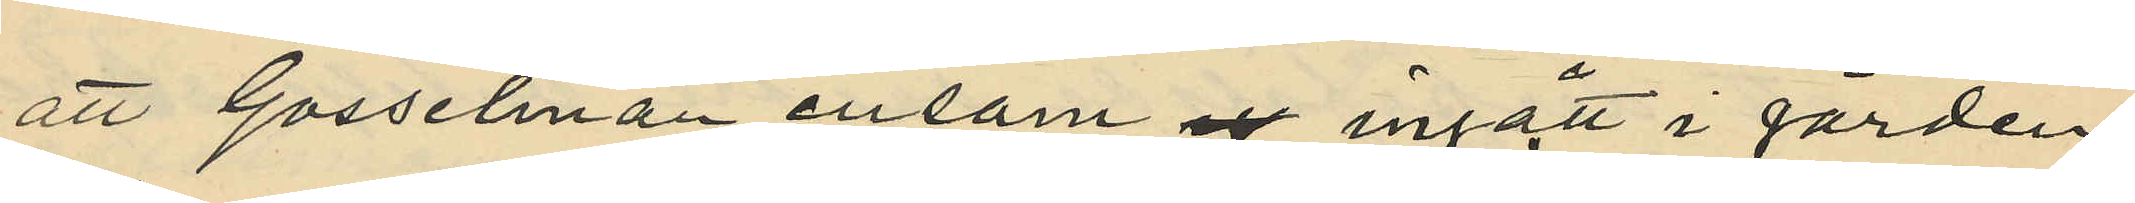att Gosselman ensam ingått i gården
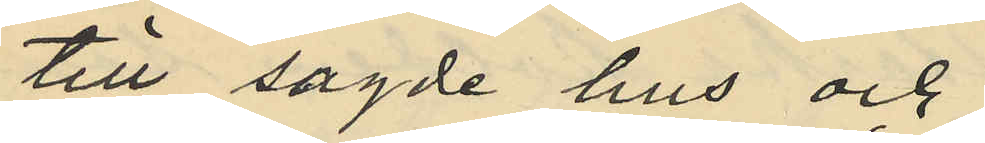till sagde hus och
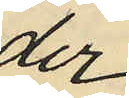der
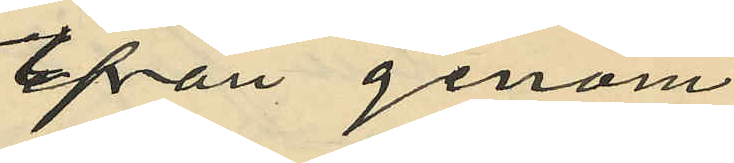ifrån genom
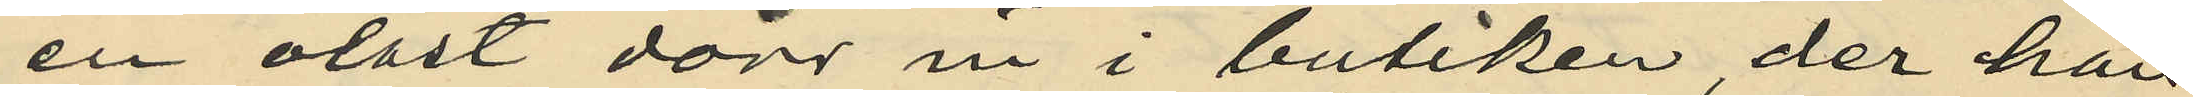en olåst dörr in i butiken, der han
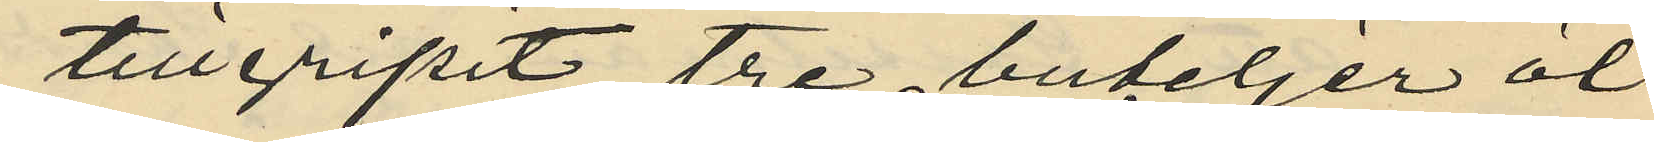tillgripit tre buteljer öl
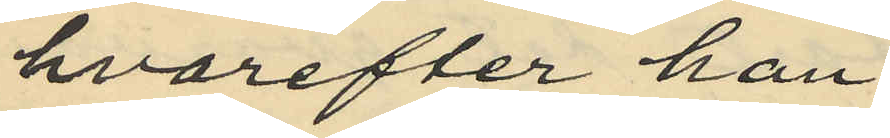hvarefter han
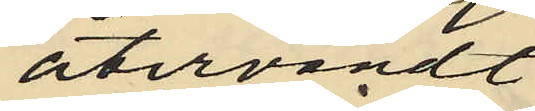återvändt
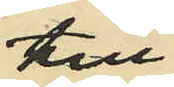till
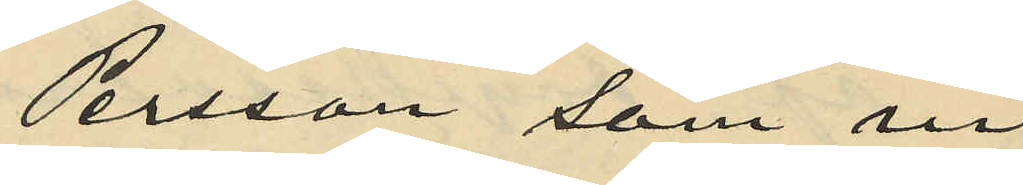Persson som in¬
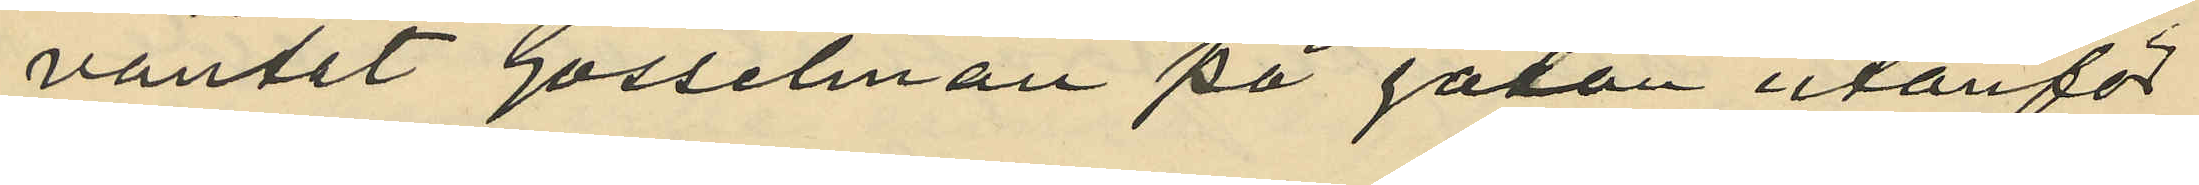väntet Gosselman på gatan utanför
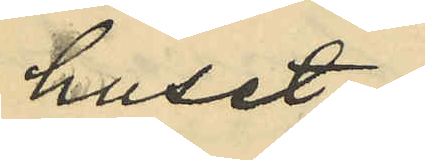huset
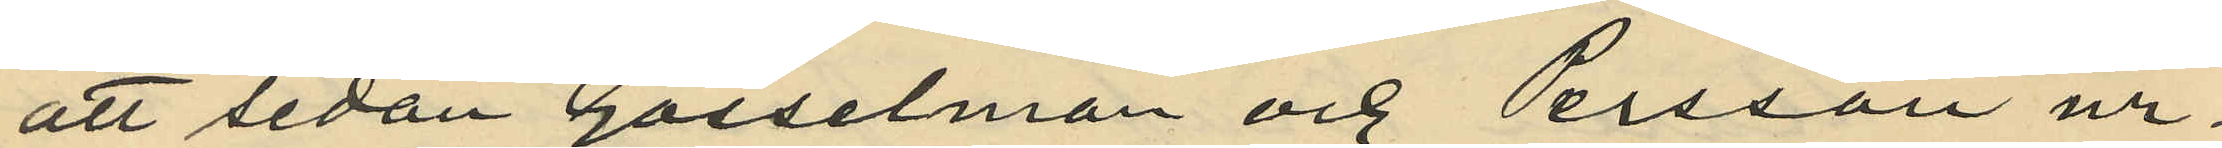att sedan Gosselman och Persson ur¬
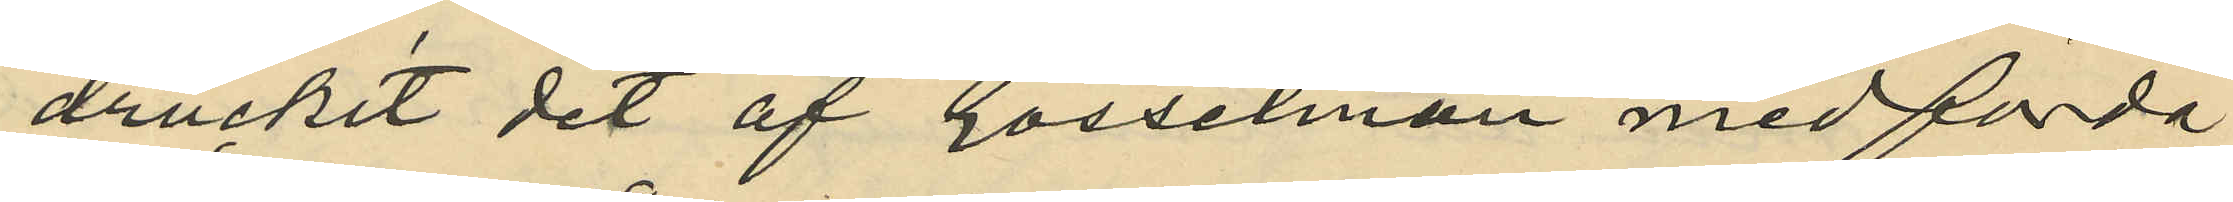druckit det af Gosselman medförda
